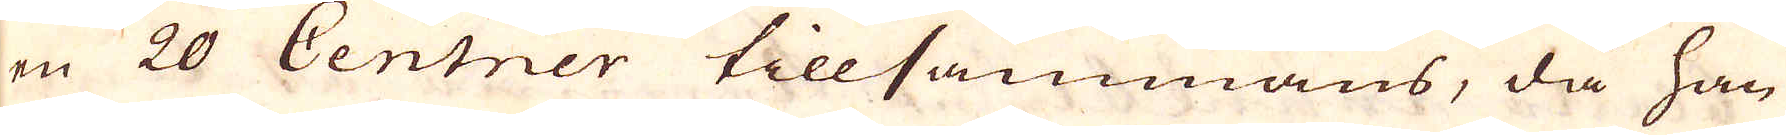en 20 Centner tillsammans, då han
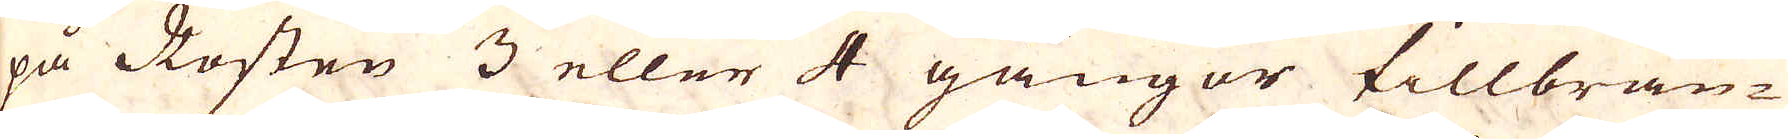på Rosten 3 eller 4 gångor tillbrän-
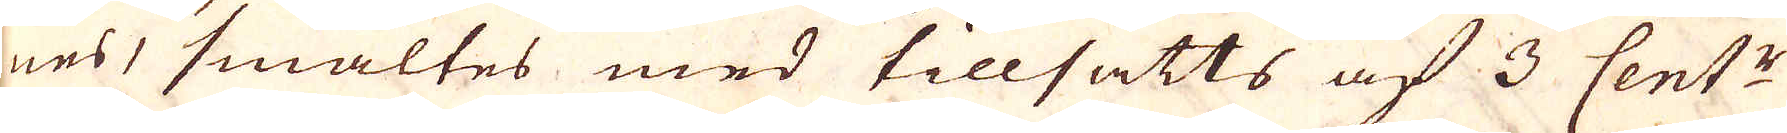nes, smältes med tillsatts af 3 Cent:r
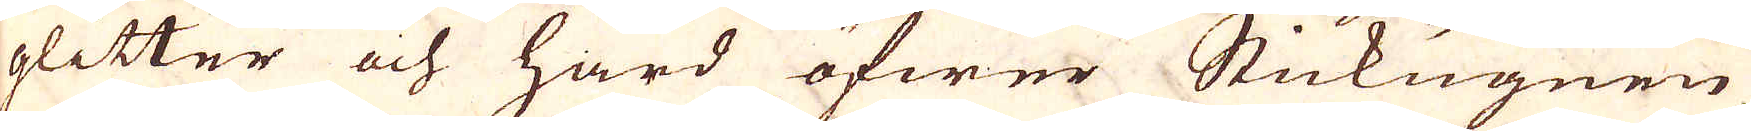glitter och hård öfwer Stickugnen
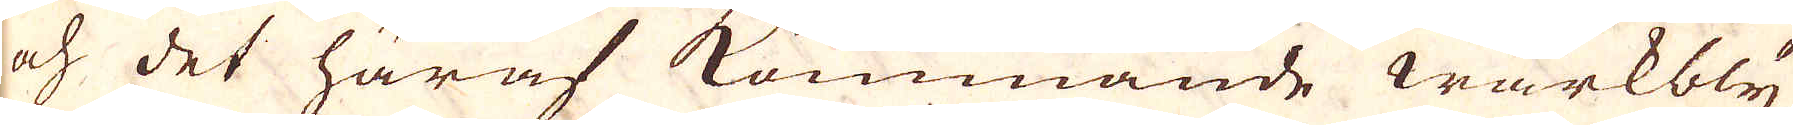och det häraf kommande wärkbly
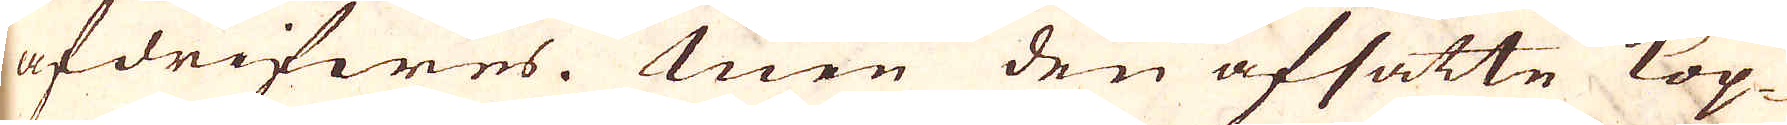afdrifwes. Men den afsatte kop-
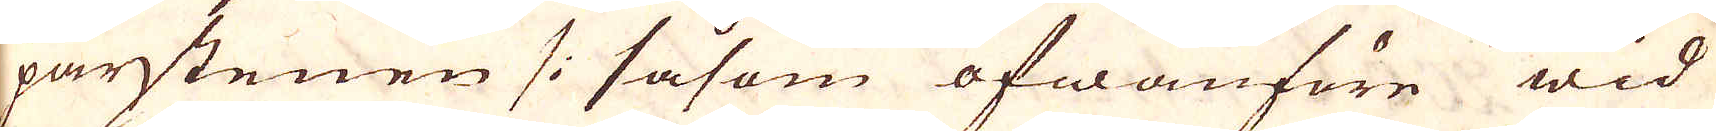parstenen /: såsom ofwanföre wid
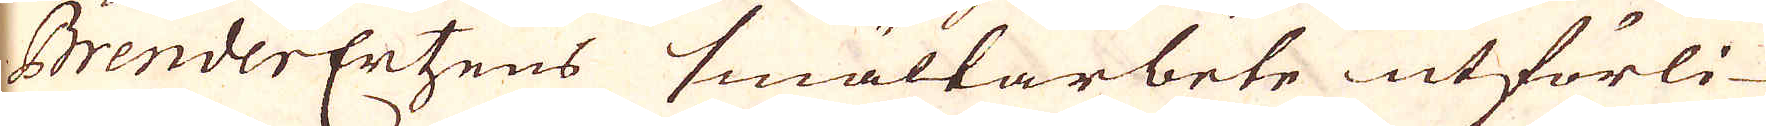BrenderErtzens smältarbete utförli-
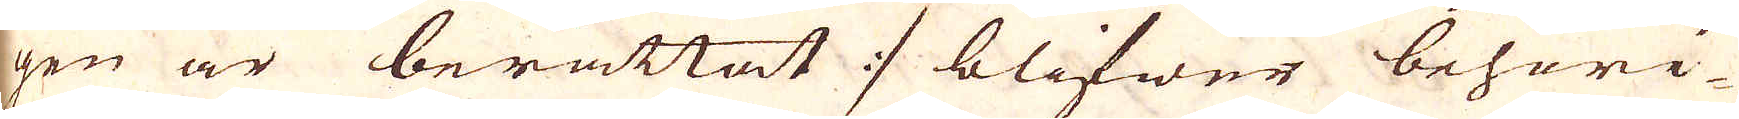gen är berättat :/ blifwer behöri-
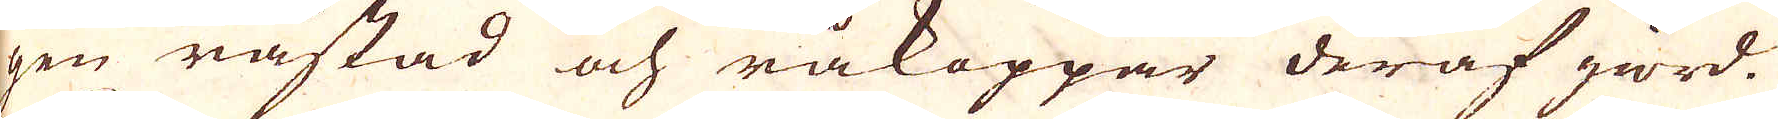gen råstad och råkoppar deraf giord.
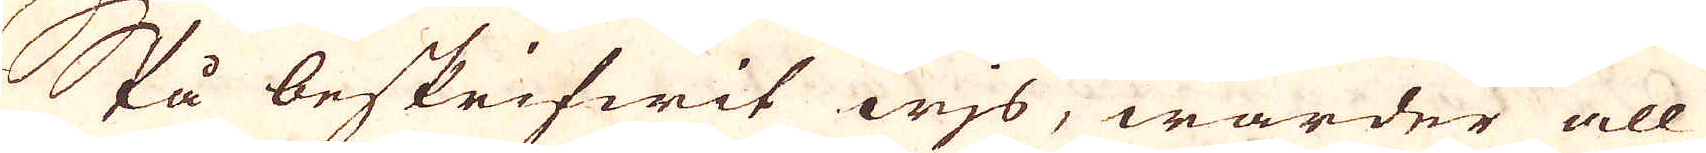På beskrifwit wjs, warder all
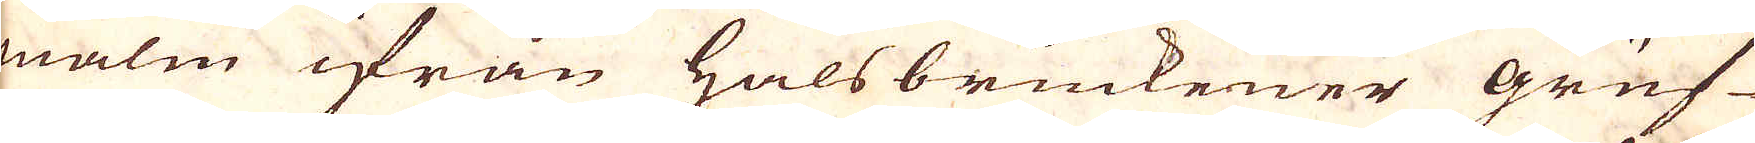malm ifrån Halsbruckener gruf-
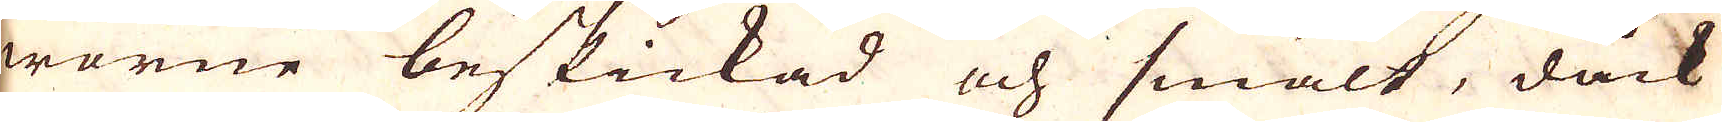warne beskickad och smält, dock
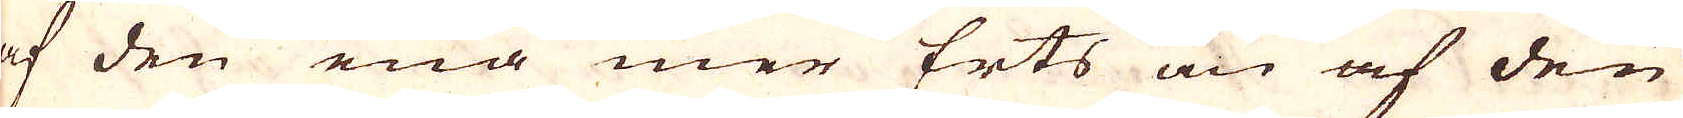af den ena mer Erts än af den
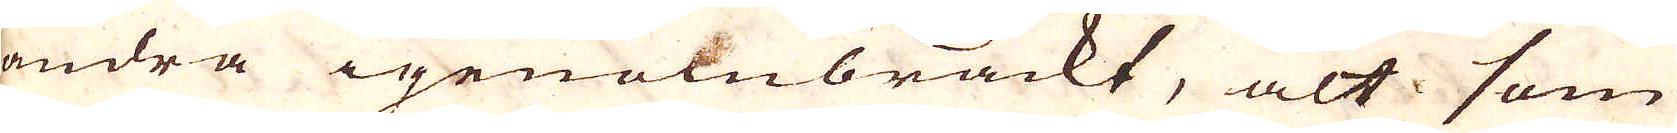andra igenombräckt, alt som
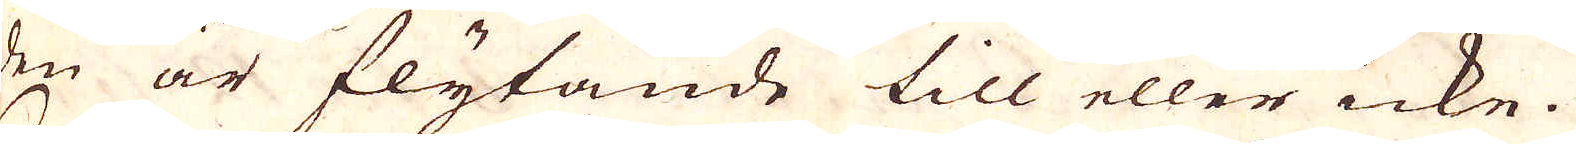den är flytande till eller icke.
